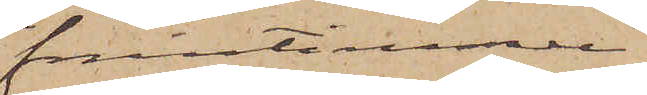fruntimmer
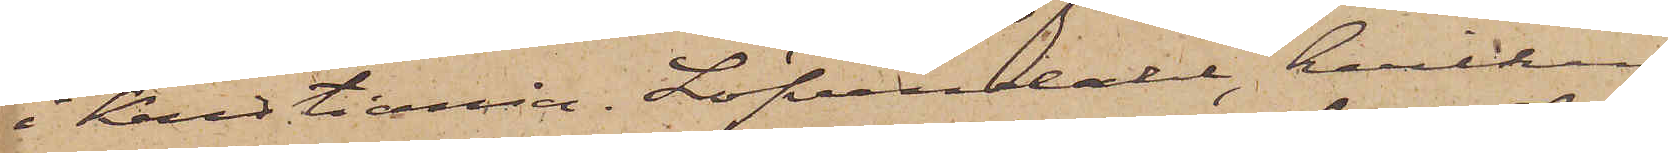i Kristiania. Löfvendahl, hvilken
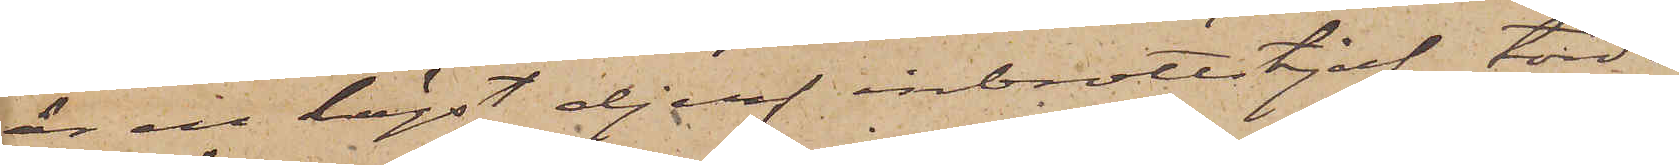är en högst djerf inbrottstjuf, torde
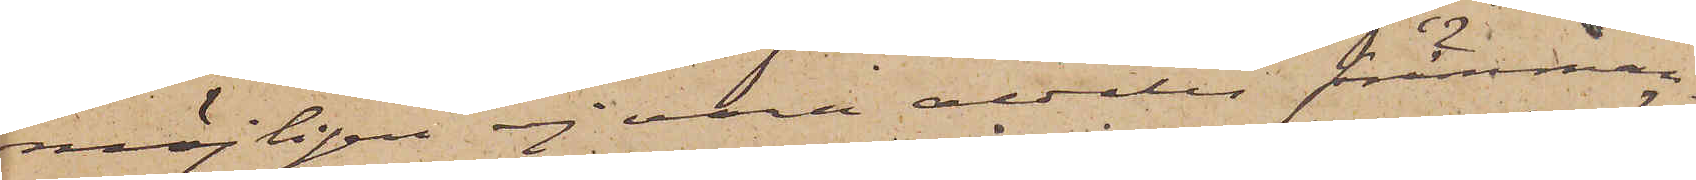möjligen ej vara aldeles främman¬
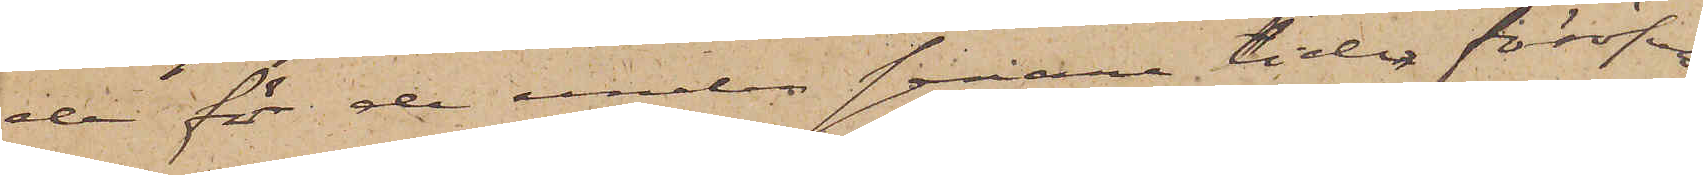de för de under senare tiden föröfva¬
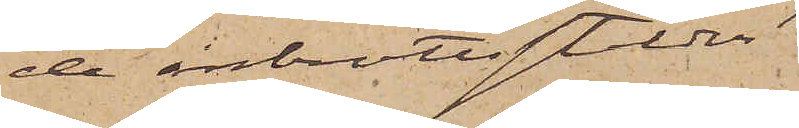de inbrottsstölder.
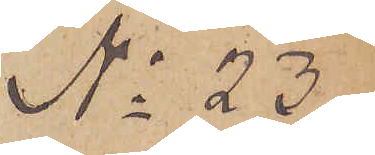No 23
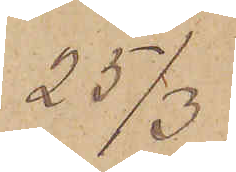25/3
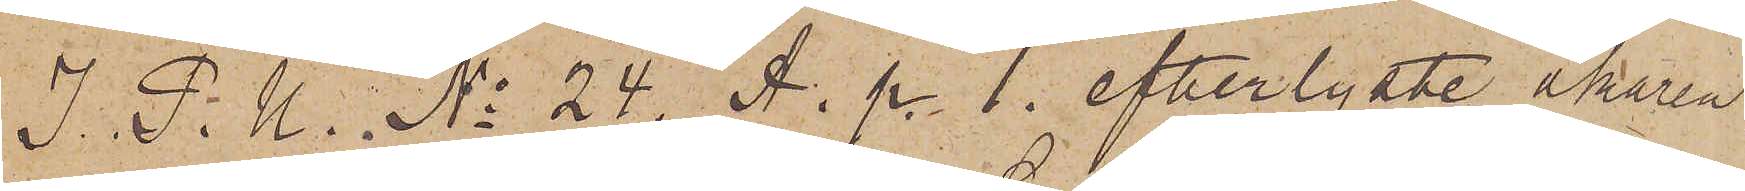I P. U. No 24. A. p. 1 efterlyste åkaren
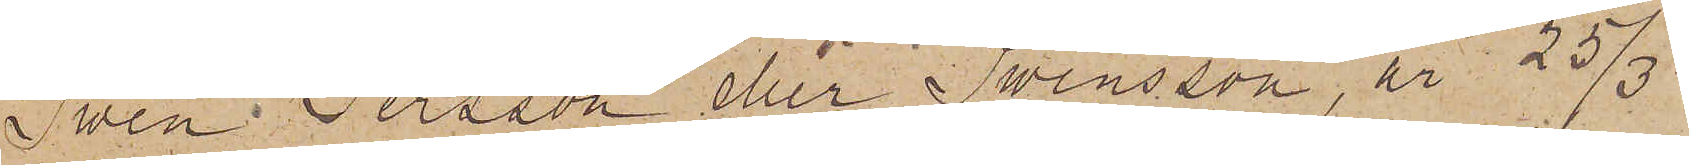Swen Persson eller Swensson, är 25/3.
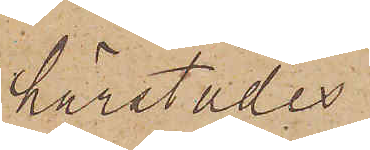härstädes
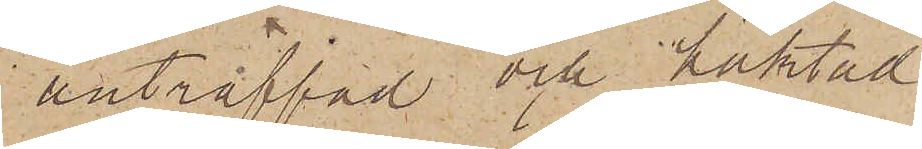anträffad och häktad
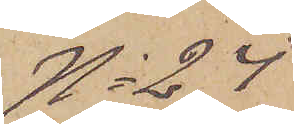No 24
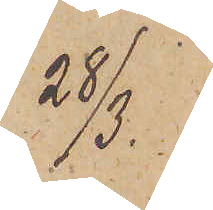28/3
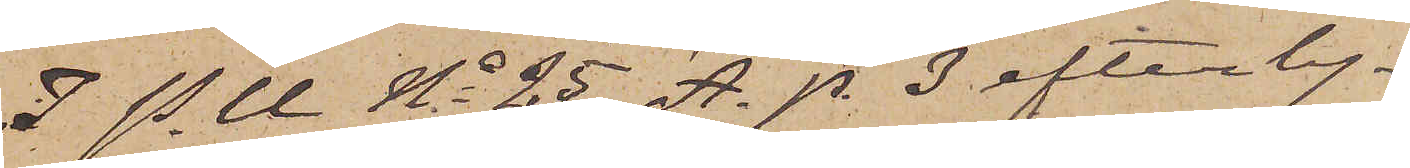I P. U. No 25 A. p. 3 efterly¬
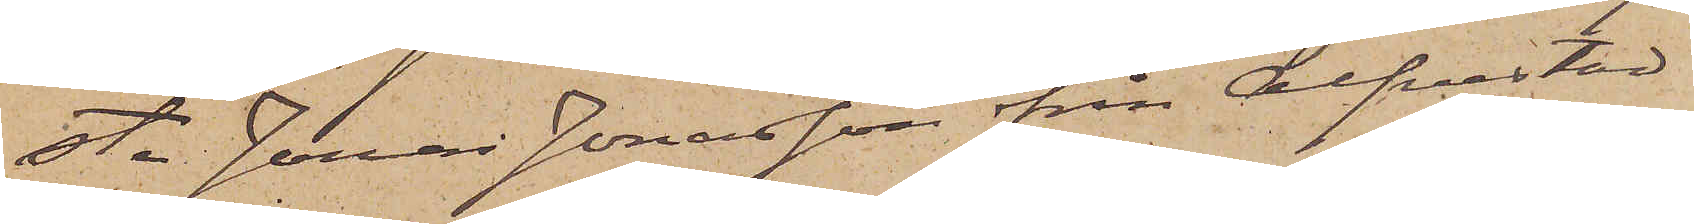ste Jonas Jonasson från Alfvestad
